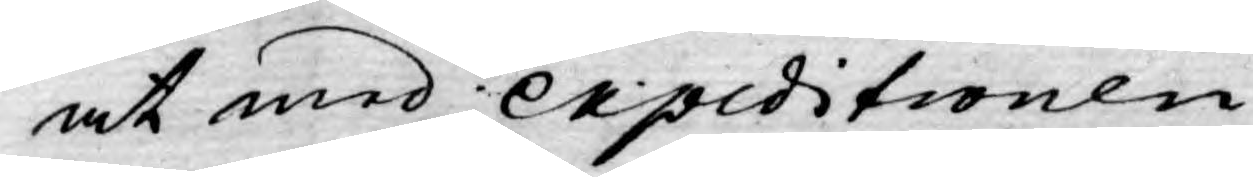at med expeditionen
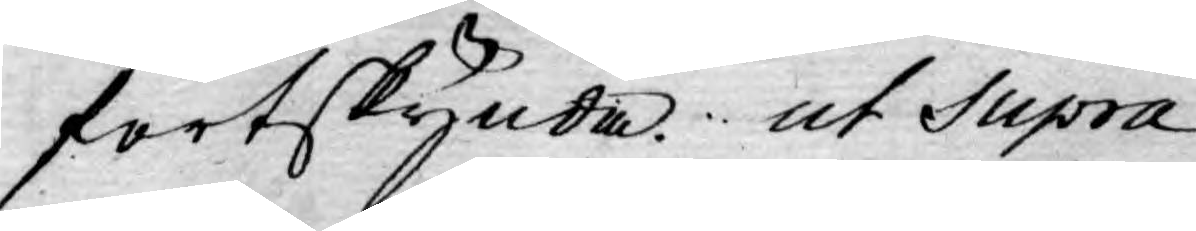fortskynda. ut Supra
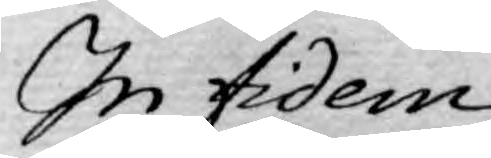In fidem
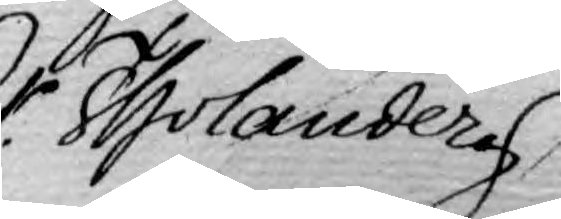Er. Tholander
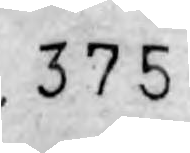375
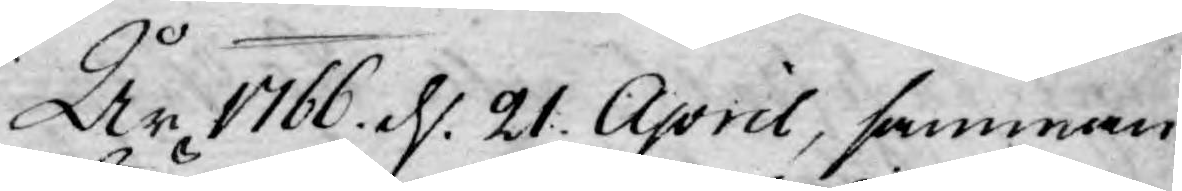År 1766 d. 21. April, samman¬
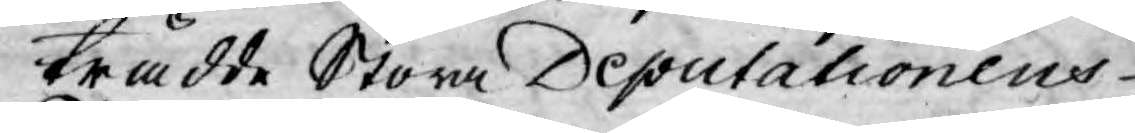trädde Stora Deputationens
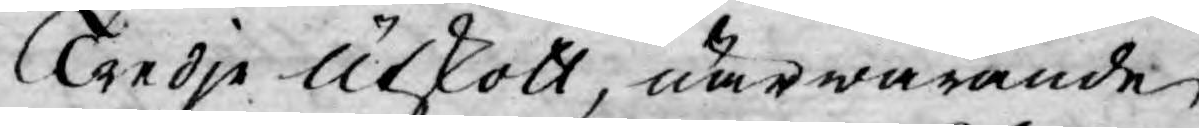Tredje Utskott, närwarande
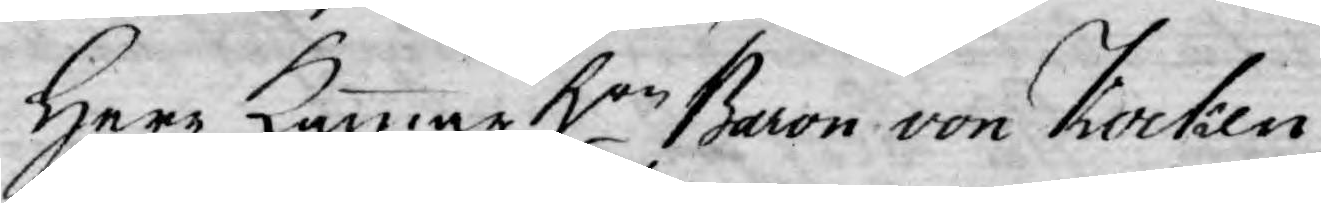Herr Kammar Hre Baron von Kocken,
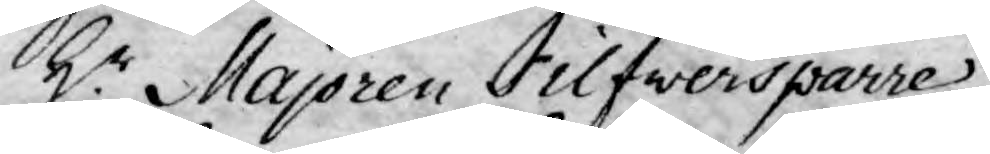Hr Majoren Silfwersparre,
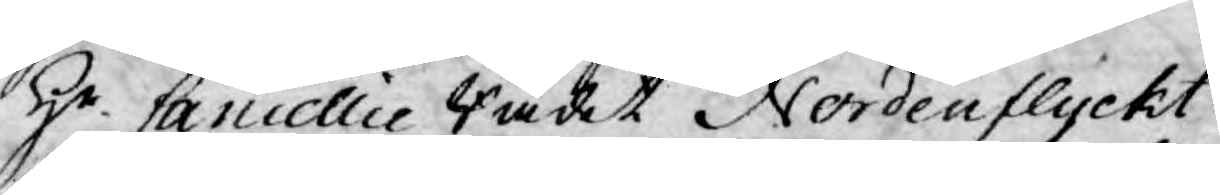Hr Cancellie Rådet Nordenflycht
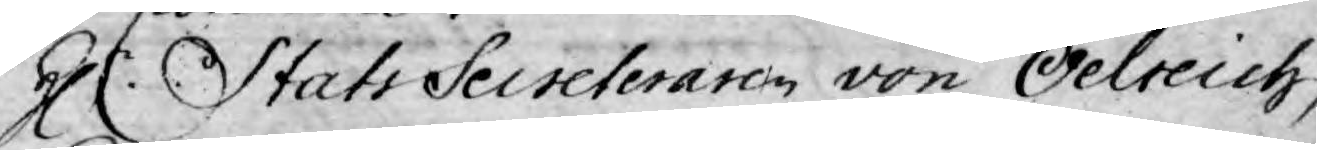Hr Stats Secreteraren von Oelreich,
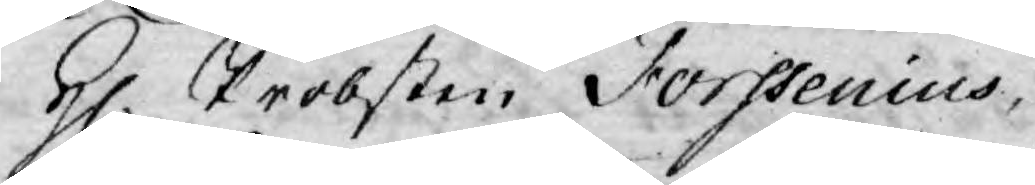H. Probsten Forssenius,
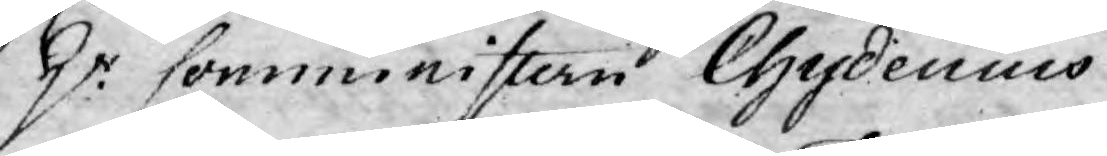Hr Comministern Chydenius
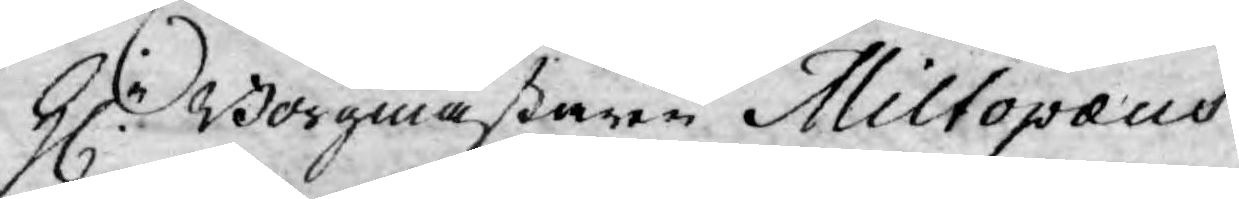Hr Borgmästaren Miltopæus
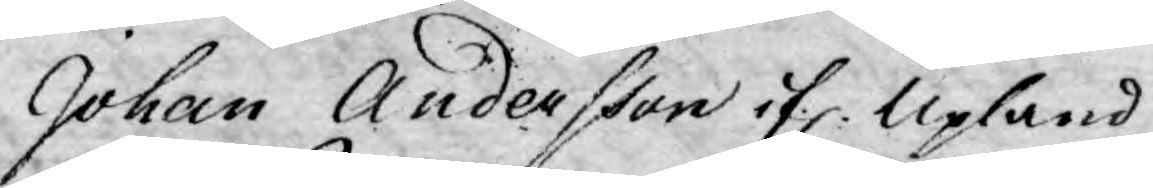Johan Andersson if. Upland
